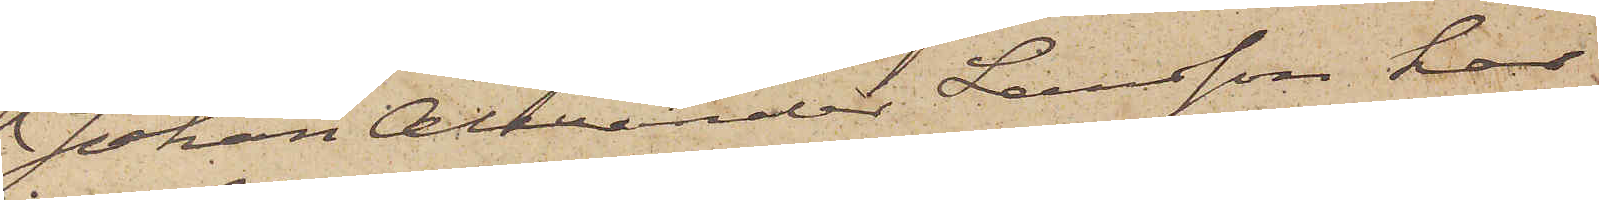Johan Alexander Larsson har
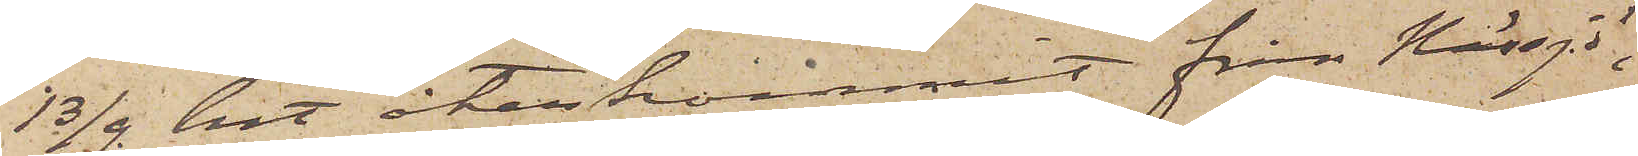13/9 hit återkommit från Nässjö,
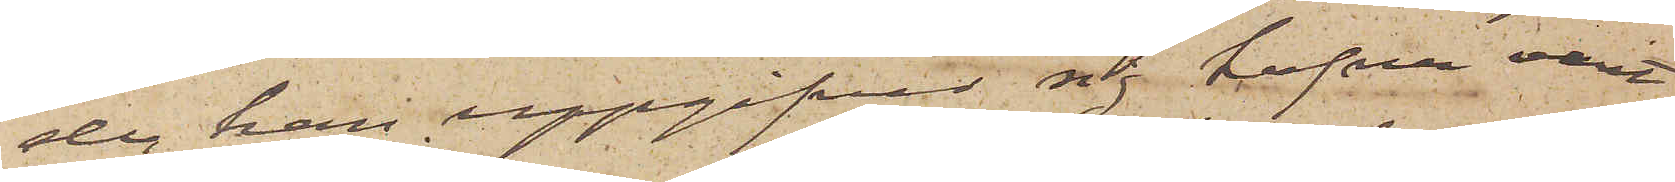der han uppgifvit sig hafva varit
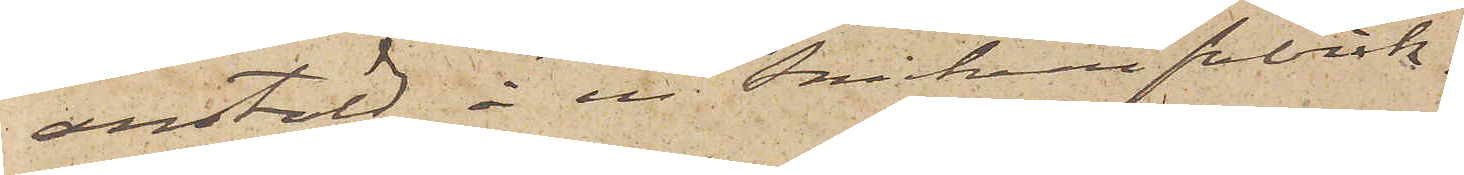anstäld å en snickerifabrik.
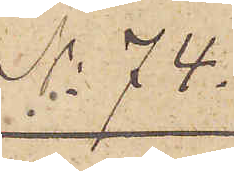No 74
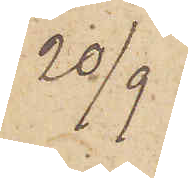20/9
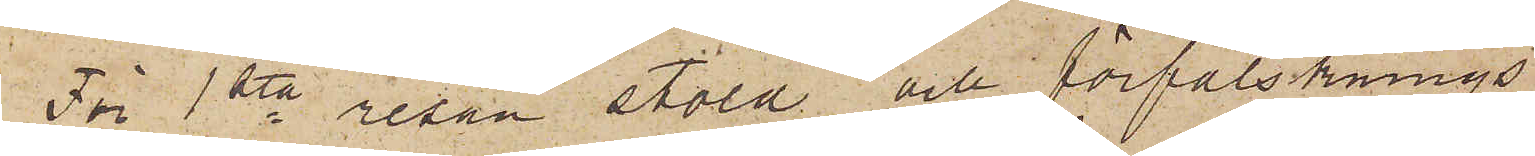För 1sta resan stöld och förfalsknings¬
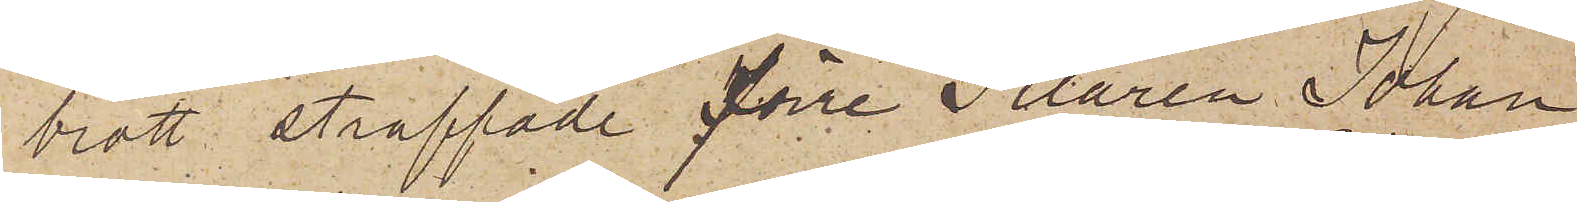brott straffade förre Filaren Johan
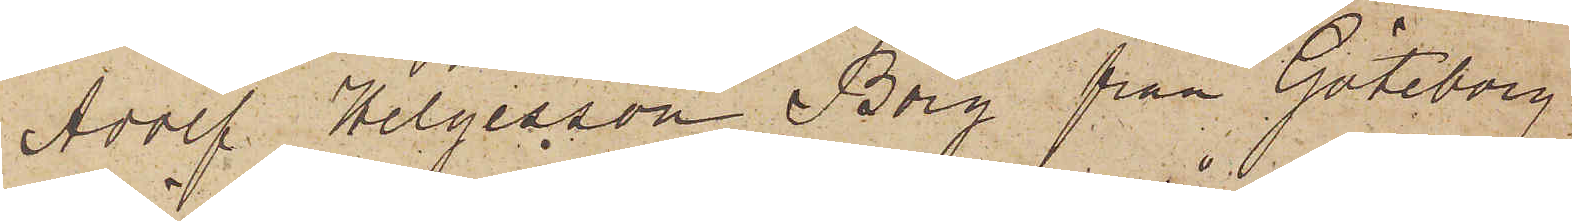Adolf Helgesson Borg från Göteborg
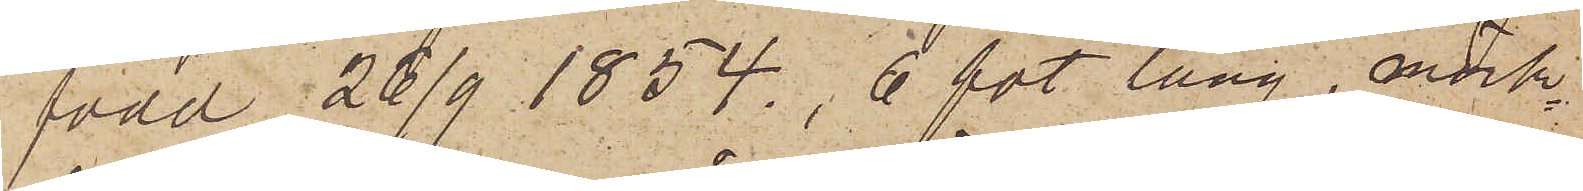född 26/9 1854, 6 fot lång, mörk¬
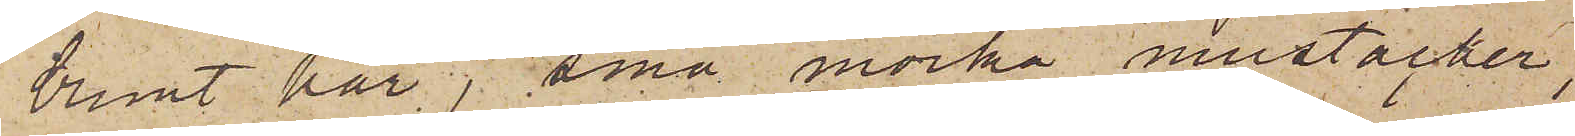brunt hår, små mörka mustacher,
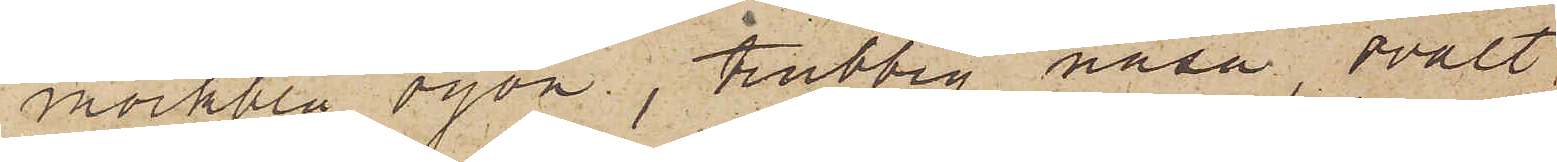mörkblå ögon, trubbig näsa, ovalt
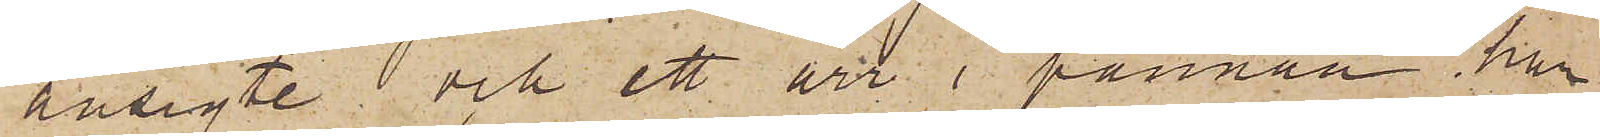ansigte och ett ärr i pannan har
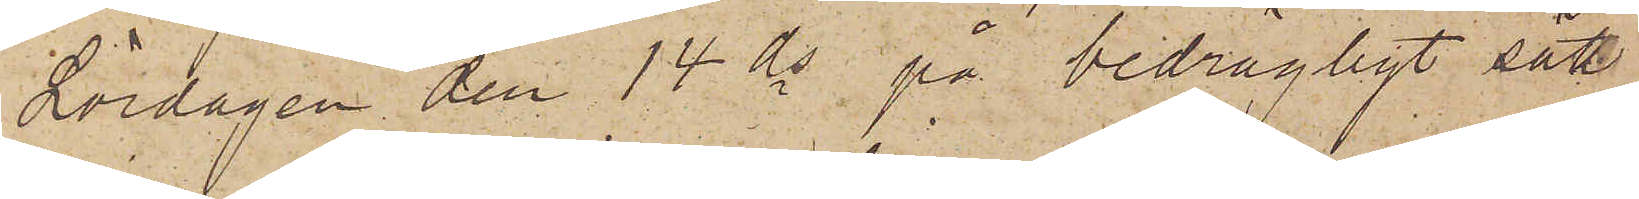Lördagen den 14 ds på bedrägligt sätt
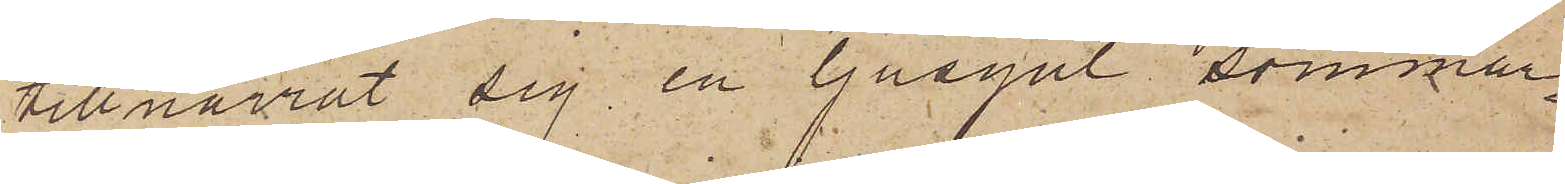tillnarrat sig en ljusgul sommar¬
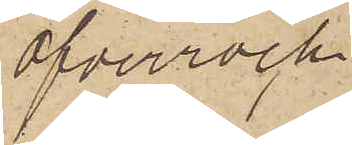öfverrock
